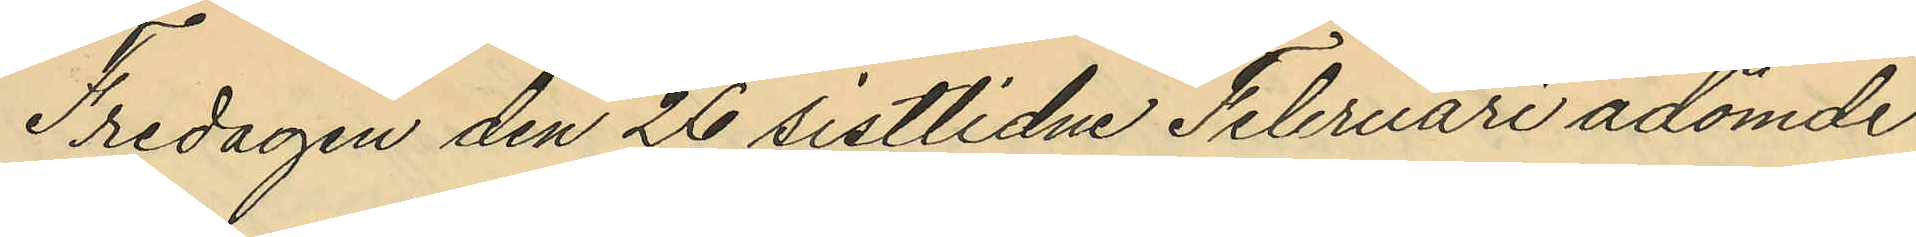Fredagen den 26 sistlidne Februari ådömde
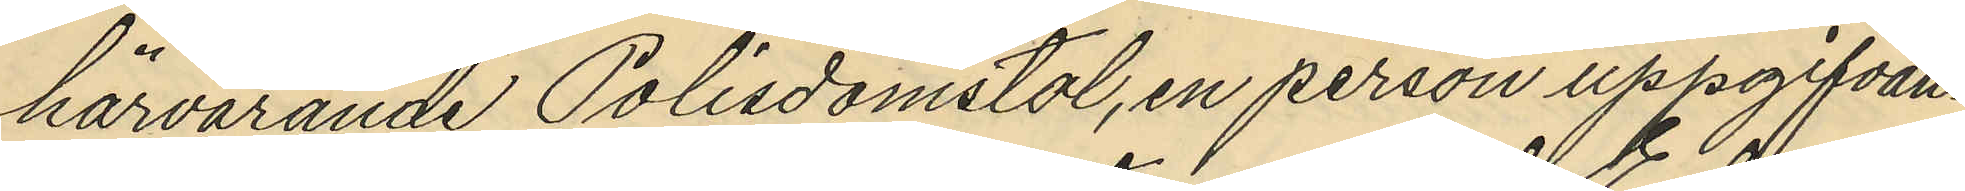härvarande Polisdomstol, en person uppgifvan¬
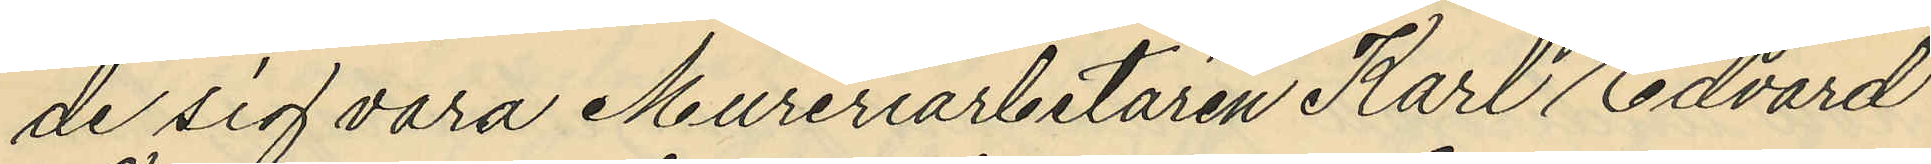de sig vara Mureriarbetaren Karl Edvard
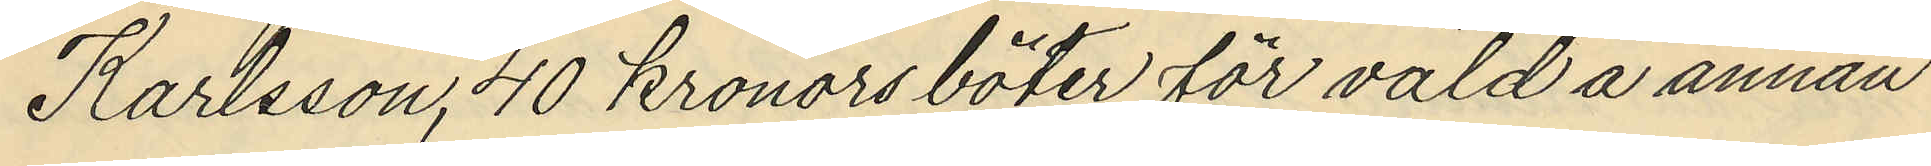Karlsson, 40 kronors böter för våld å annan
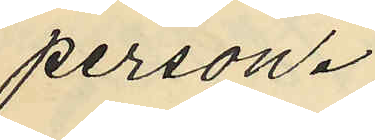person.
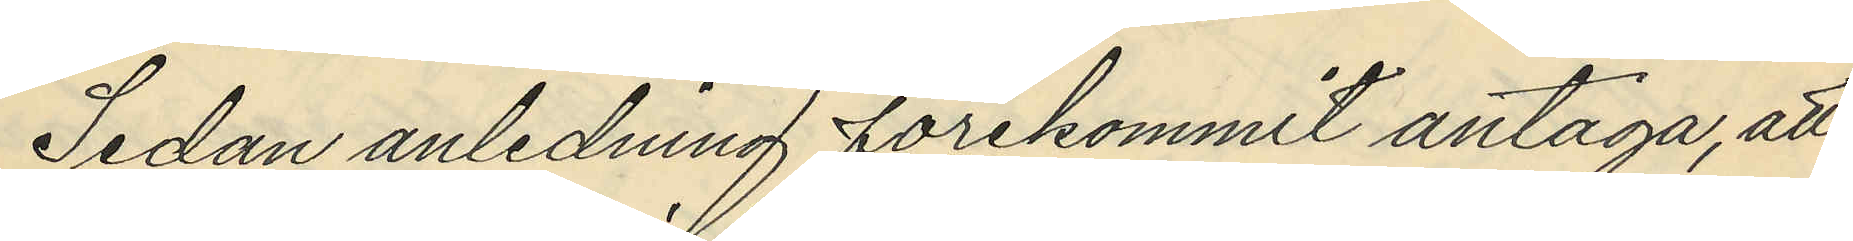Sedan anledning förekommit antaga, att
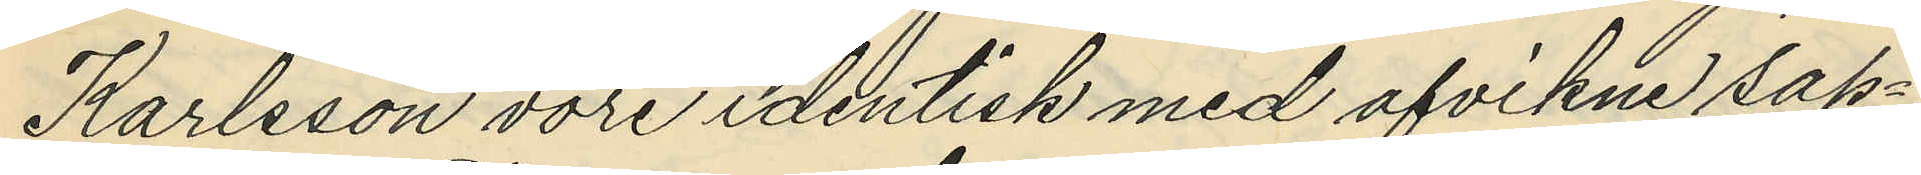Karlsson vore identisk med afvikne sap¬
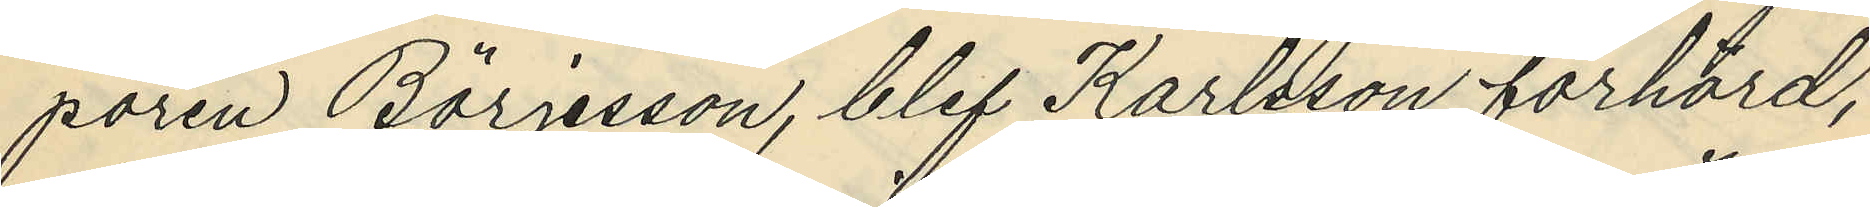pören Börjesson, blef Karlsson förhörd,
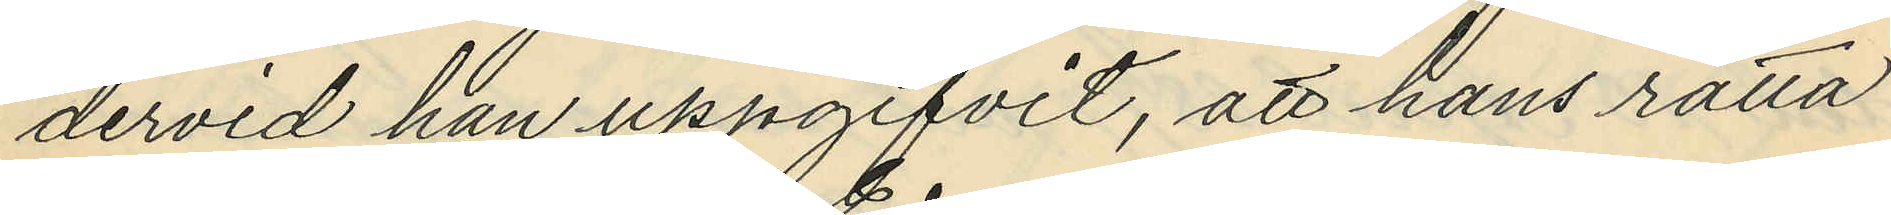dervid han uppgifvit, att hans rätta
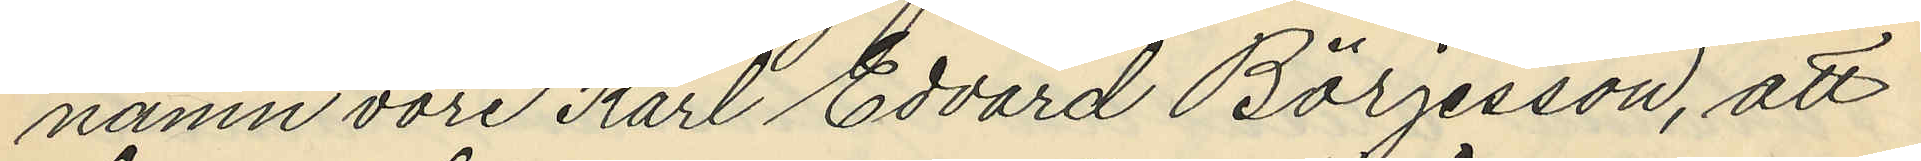namn vore Karl Edvard Börjesson, att
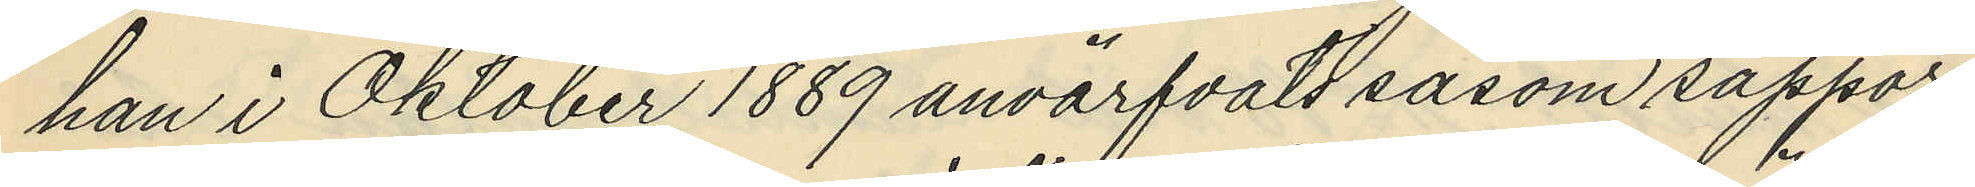han i Oktober 1889 anvärfvats såsom sappör
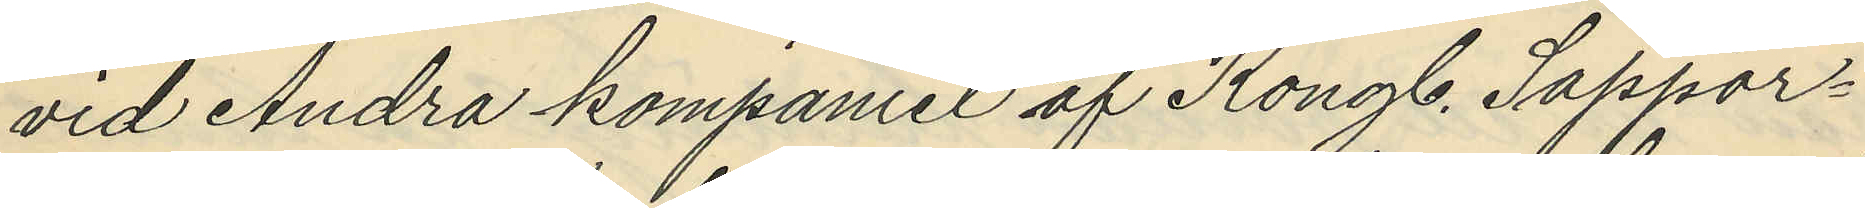vid Andra kompaniet af Kongl. Sappör¬
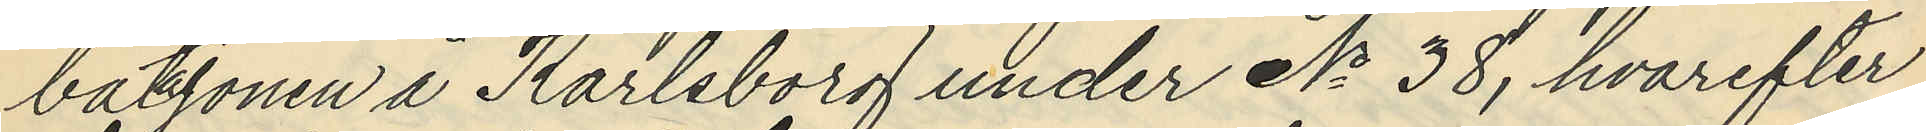batalojnen å Karlsborg under No 38, hvarefter
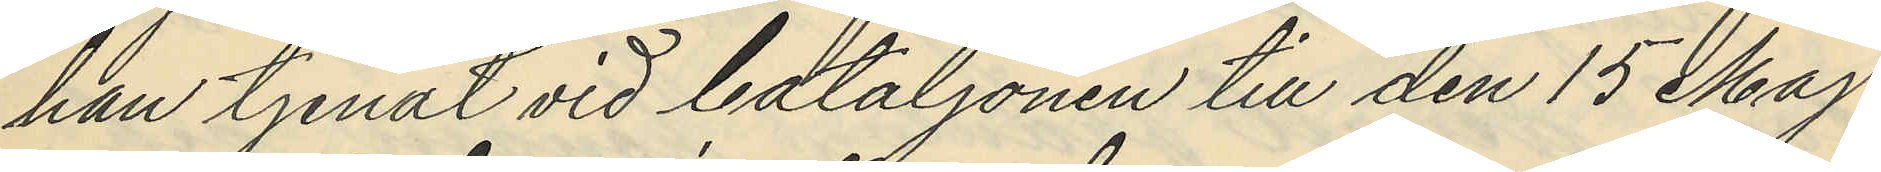han tjenat vid bataljonen till den 15 Maj
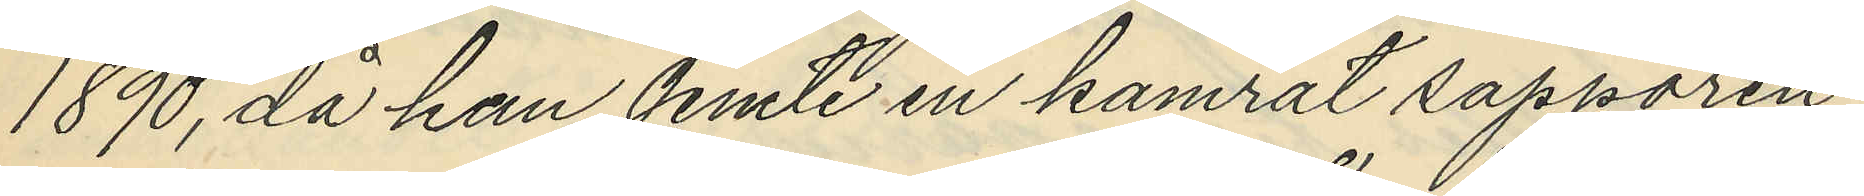1890, då han jemte en kamrat sappören
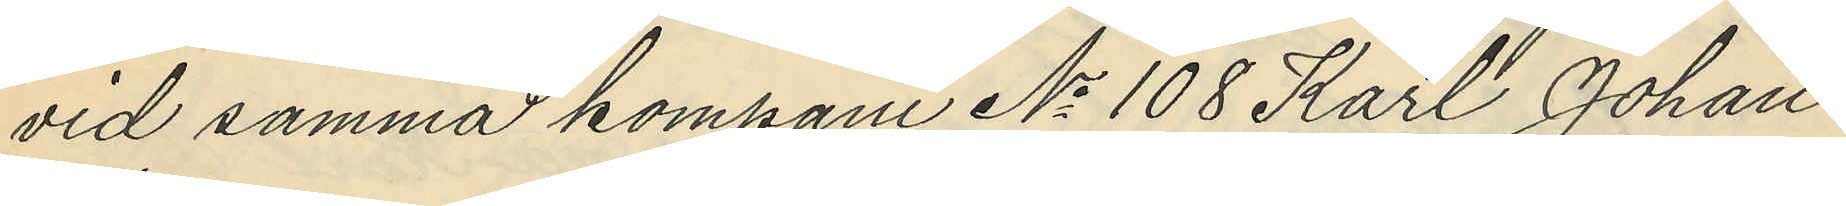vid samma kompani No 108 Karl Johan
